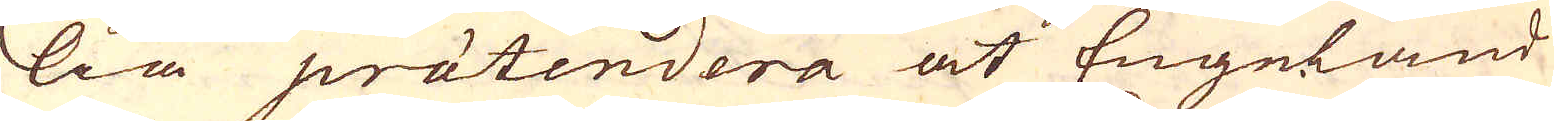lia prätendera at Engeland
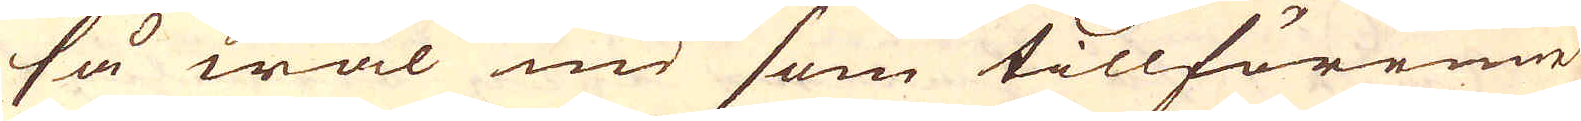så wäl nu som tillförenne
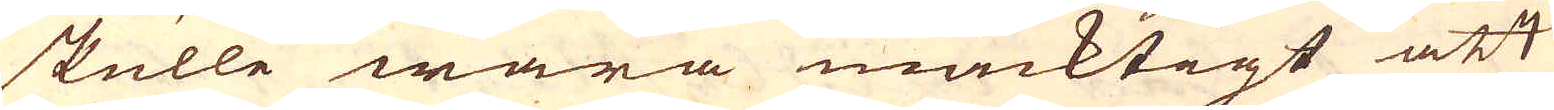skulle wara mäcktigt att
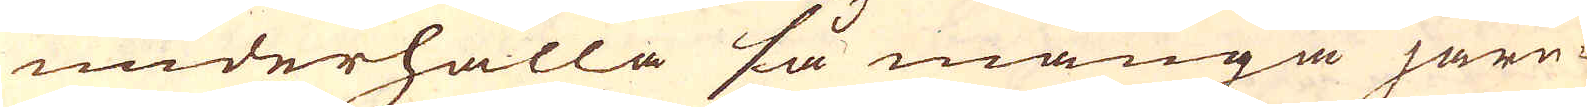underhålla så många järn-
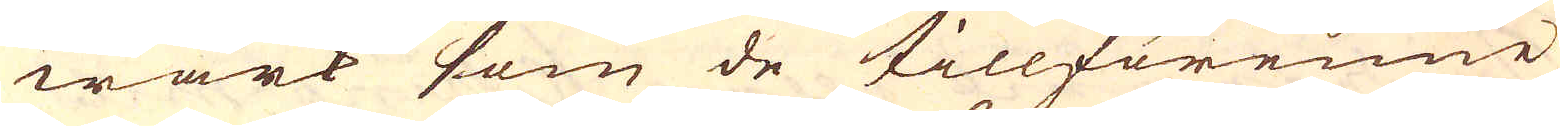wärk som de tillförenne
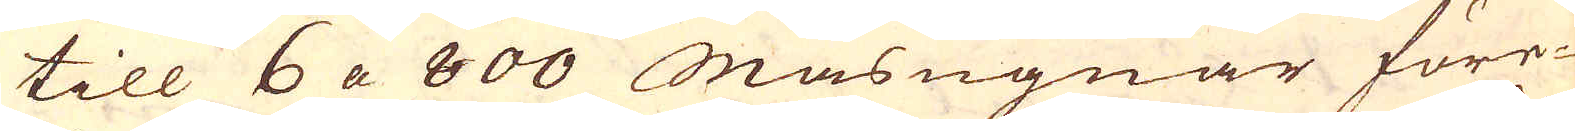till 6 a 800 Masugnar före-
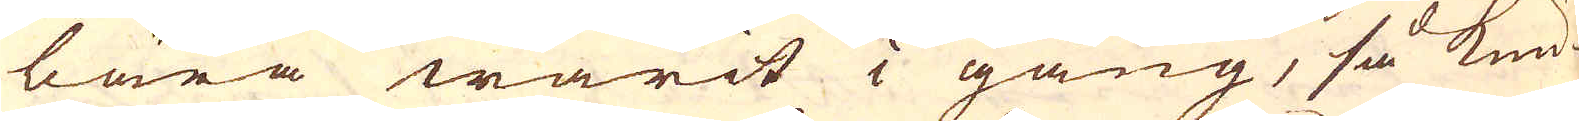bära warit i gång, så kun-
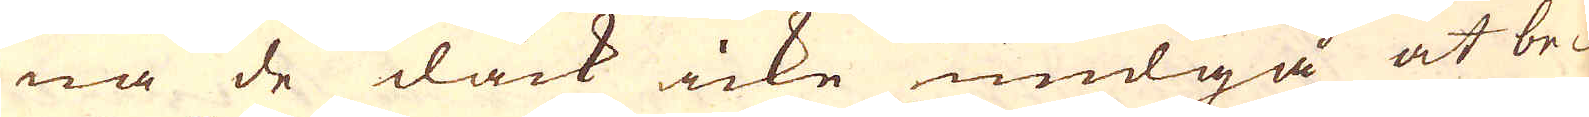na de dåck icke undgå at be-
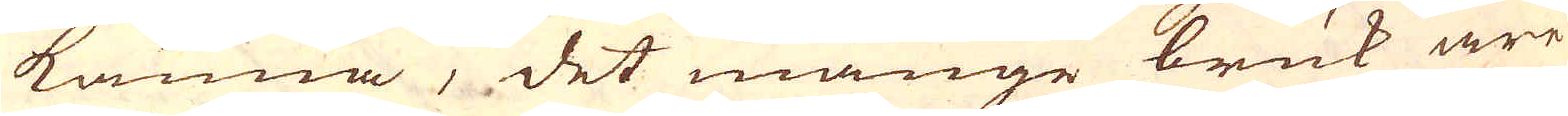känna, det månge bruk äre
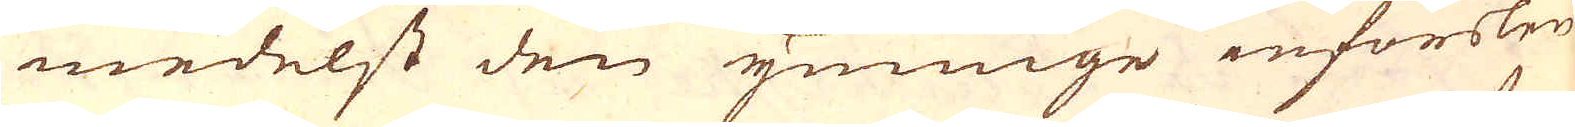medelst den ymnige införslen
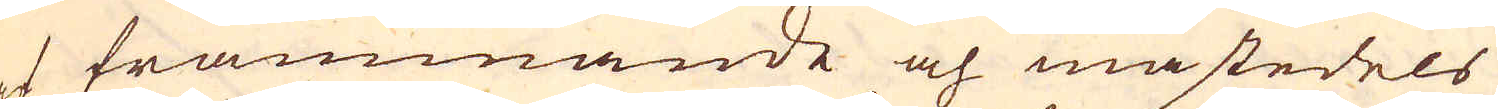af främmande och mästedels
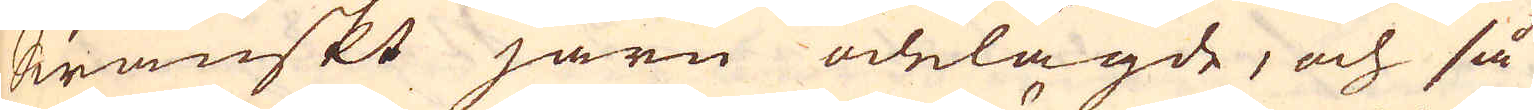Swänskt järn ödelagde, och så
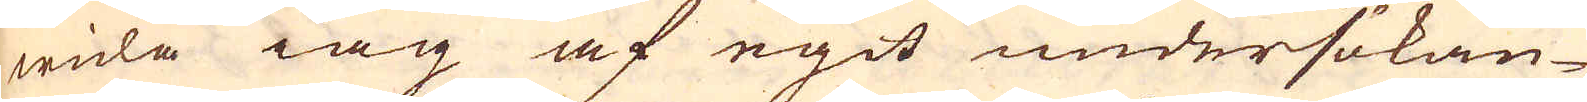wida iag af egit undersökan-
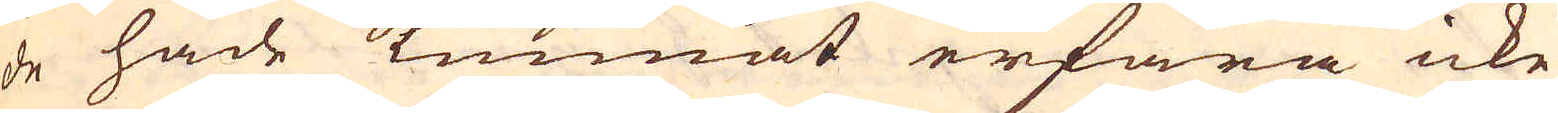de hade kunnat erfara icke
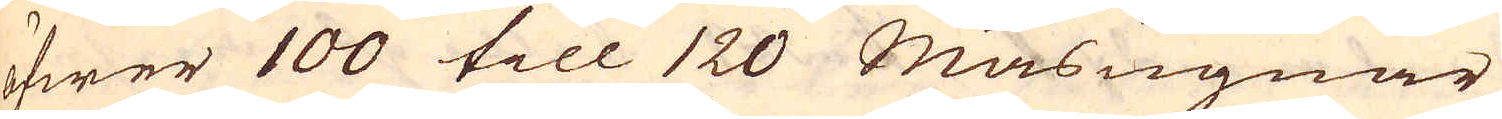öfwer 100 till 120 Masugnar
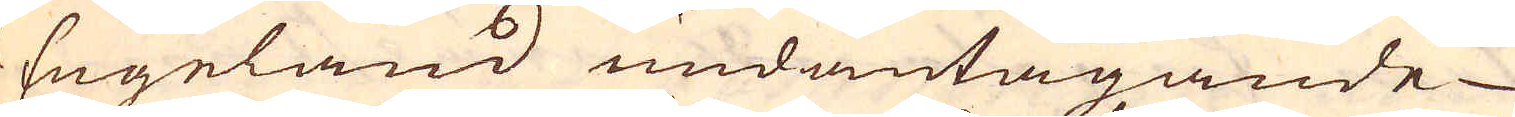i Engeland undantagande
